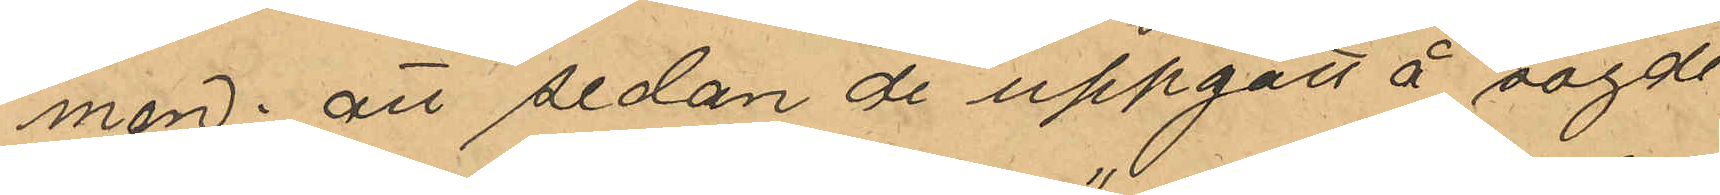men; att sedan de uppgått å sagde
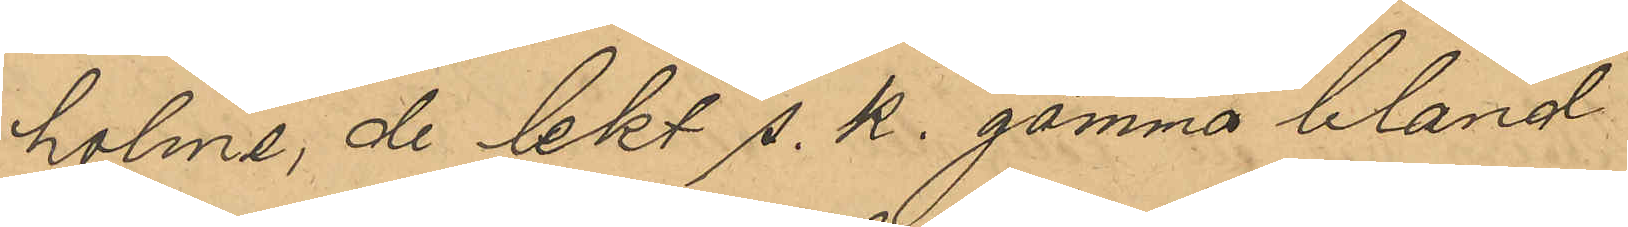holme, de lekt s. k. gömma bland
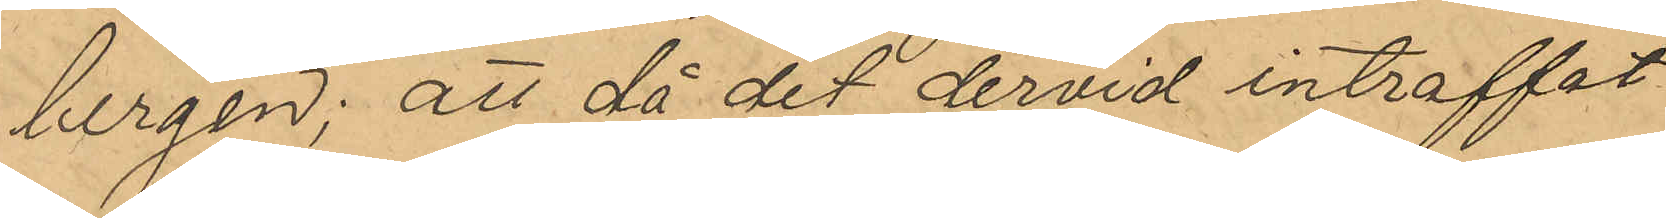bergen; att då det dervid inträffat
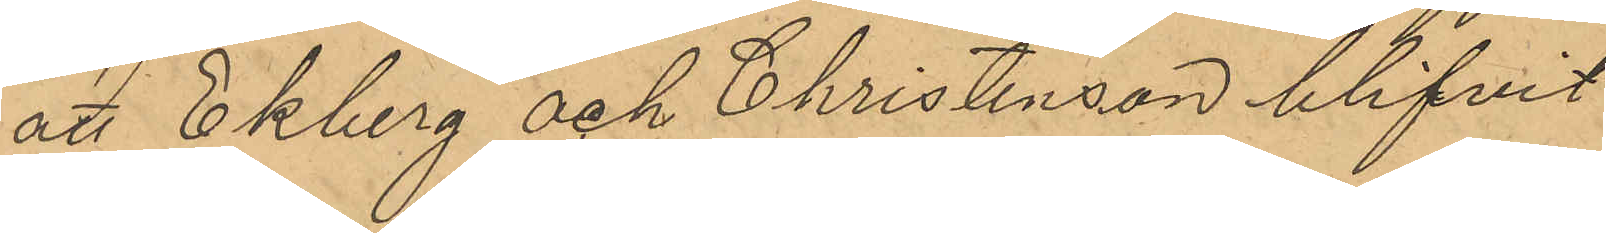att Ekberg och Christensson blifvit
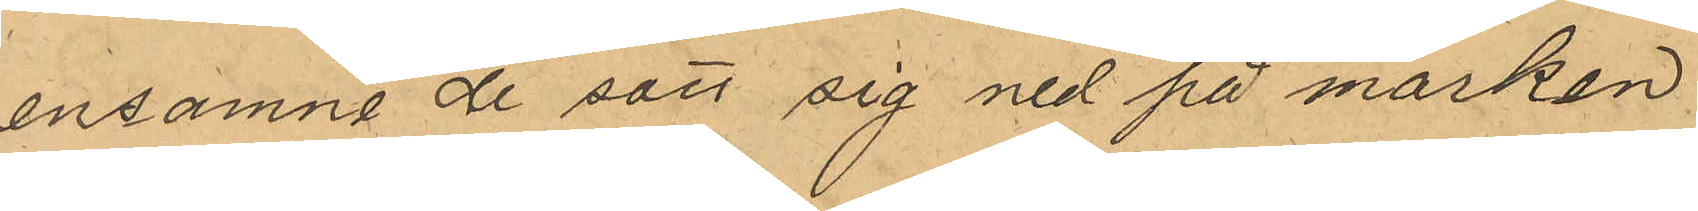ensamma de satt sig ned på marken
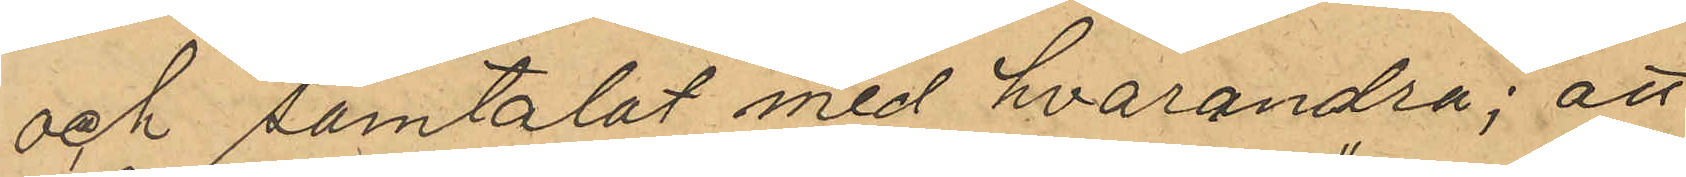och samtalat med hvarandra; att
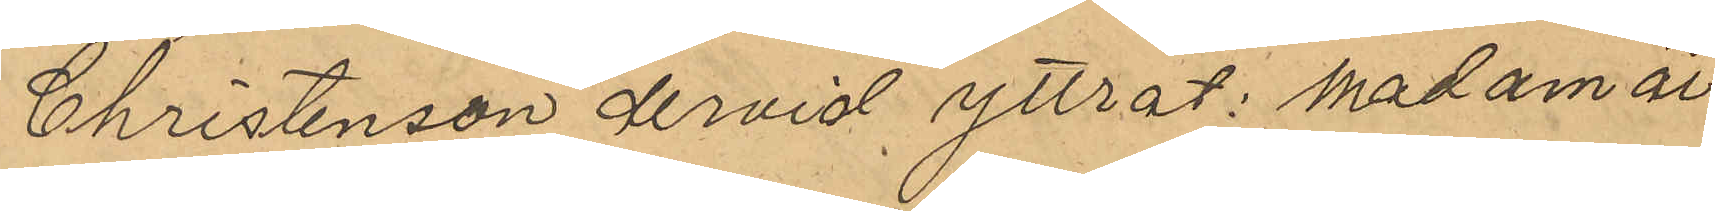Christensson dervid yttrat: "madam är
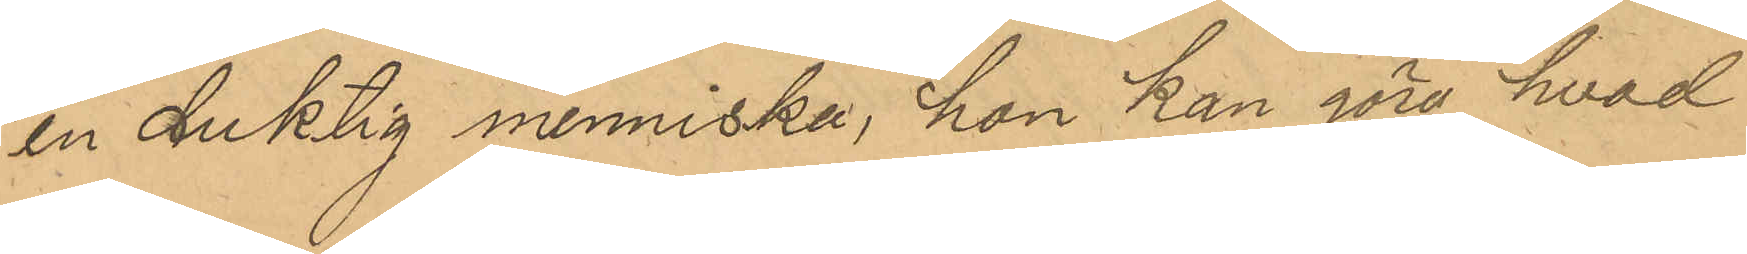en duktig menniska, hon kan göra hvad
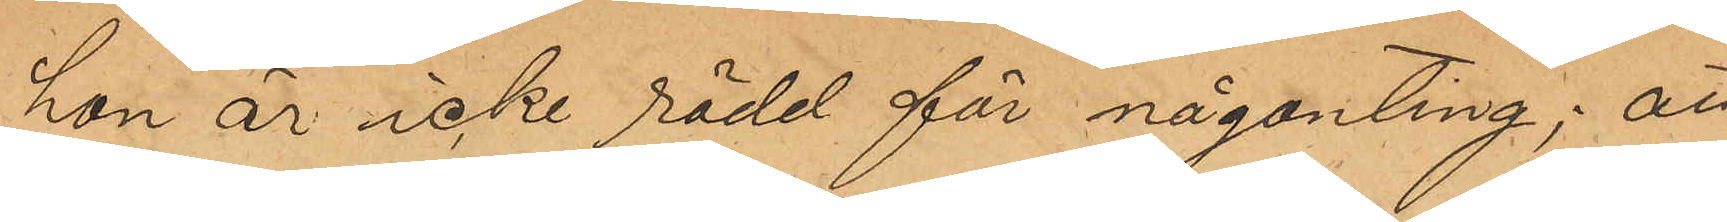hon är icke rädd för någonting"; att
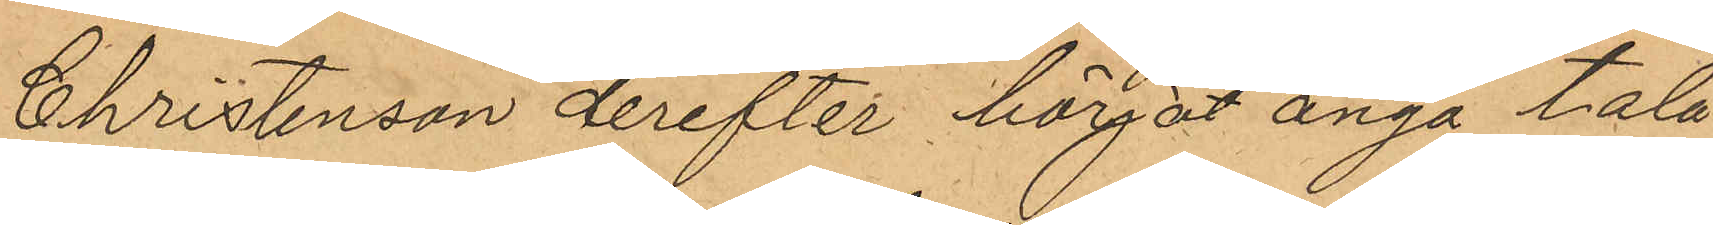Christensson derefter börjat ånyo tala
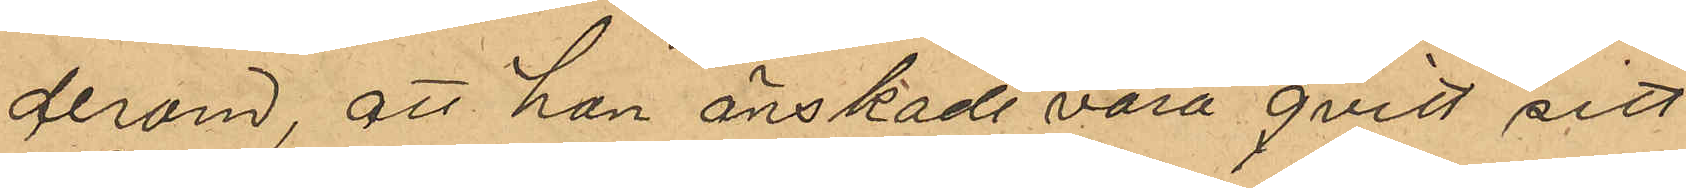derom, att hon önskade vara qvitt sitt
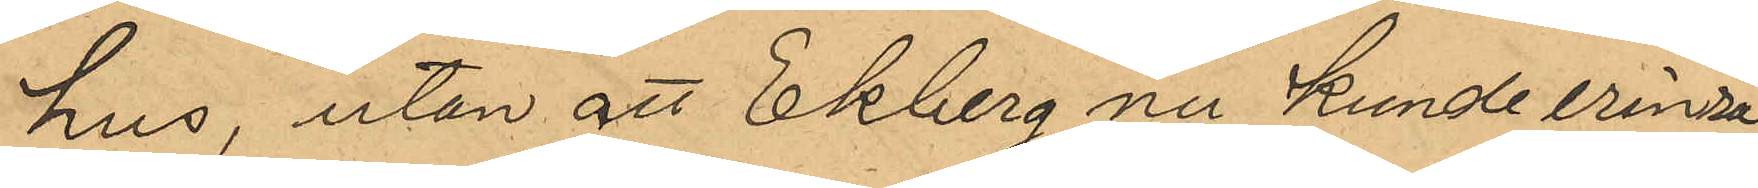hus, utan att Ekberg nu kunde erinra
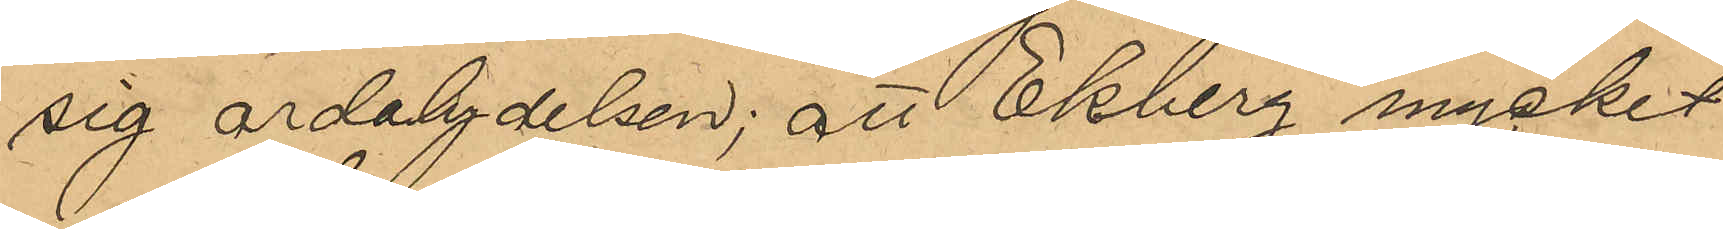sig ordalydelsen; att Ekberg mycket 
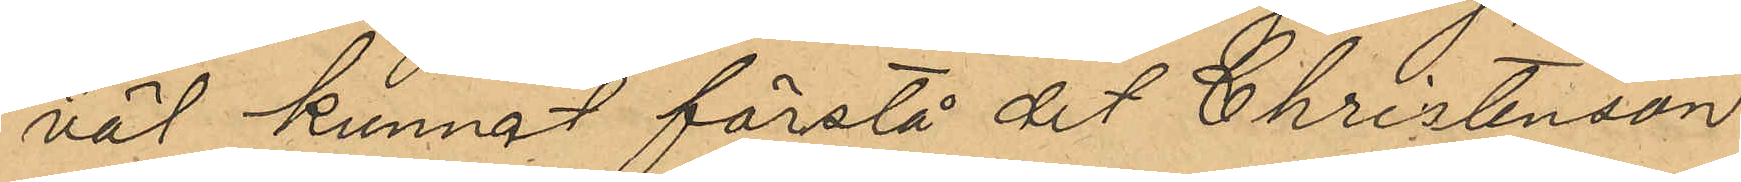väl kunnat föreslå att Christensson
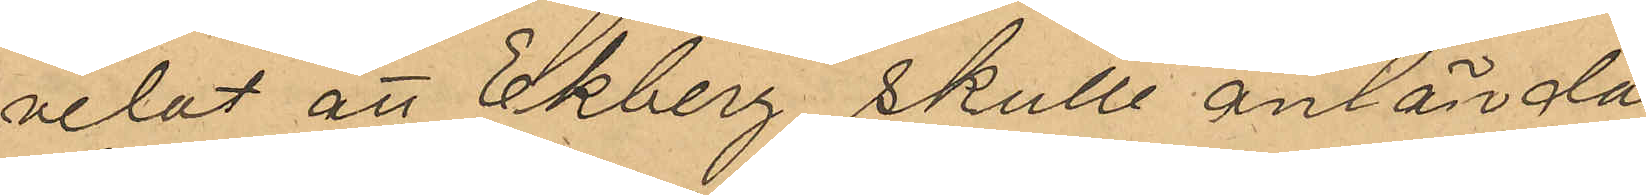velat att Ekberg skulle antända 
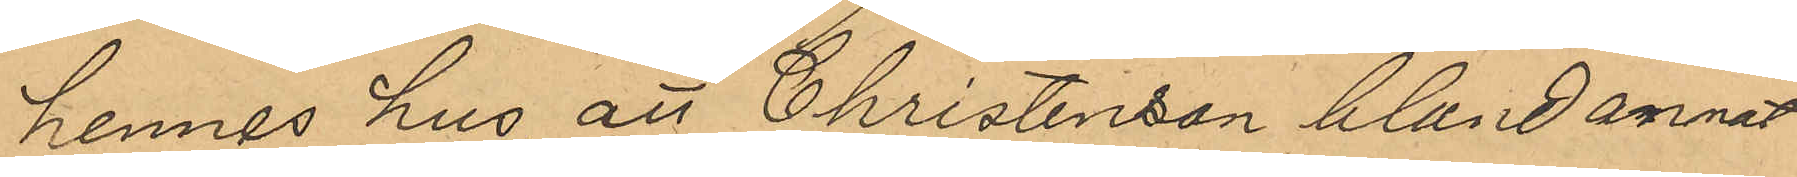hennes hus, att Christensson bland annat
